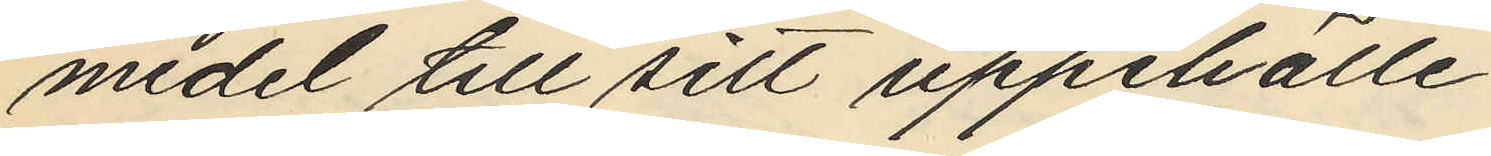medel till sitt uppehälle.
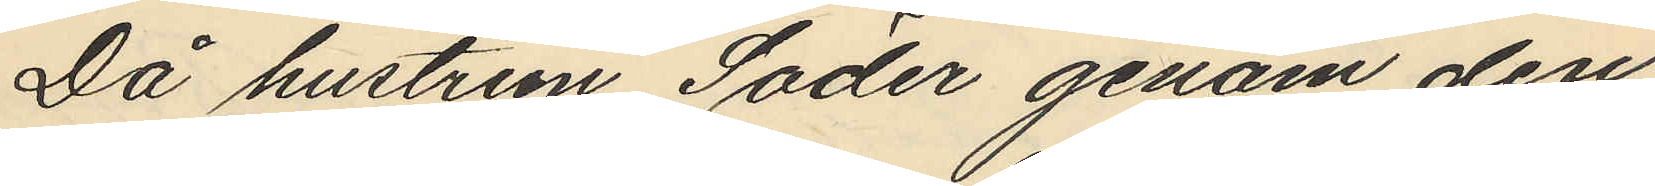Då hustrun Söder genom den
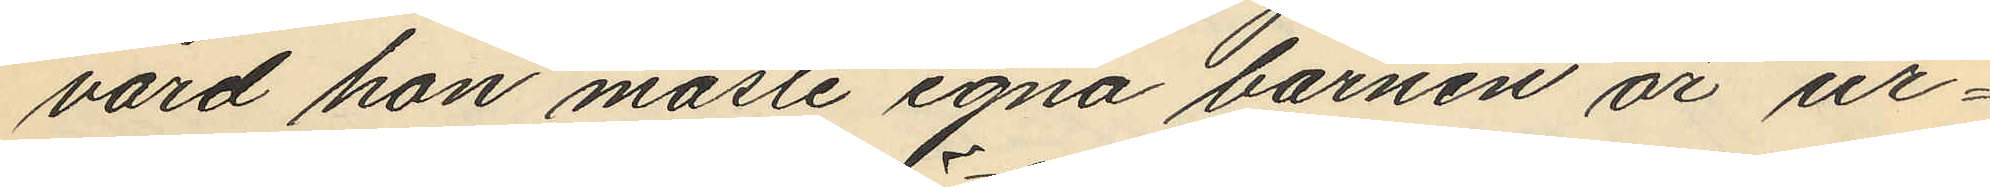vård hon måste egna barnen är ur¬
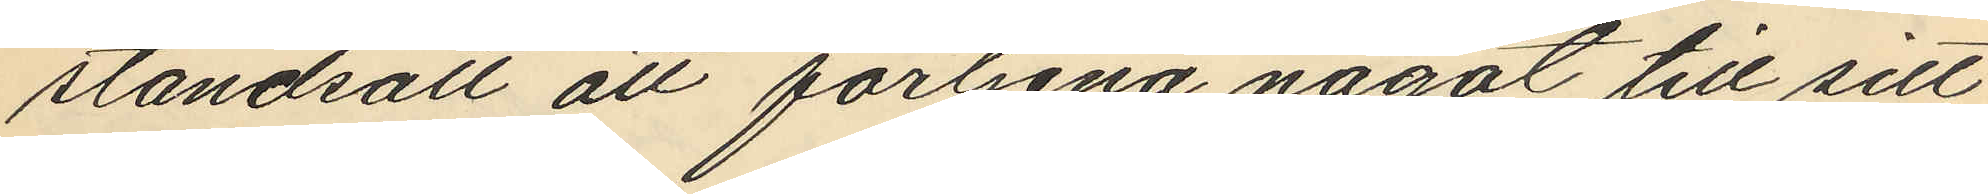ståndsatt att förtjena något till sitt
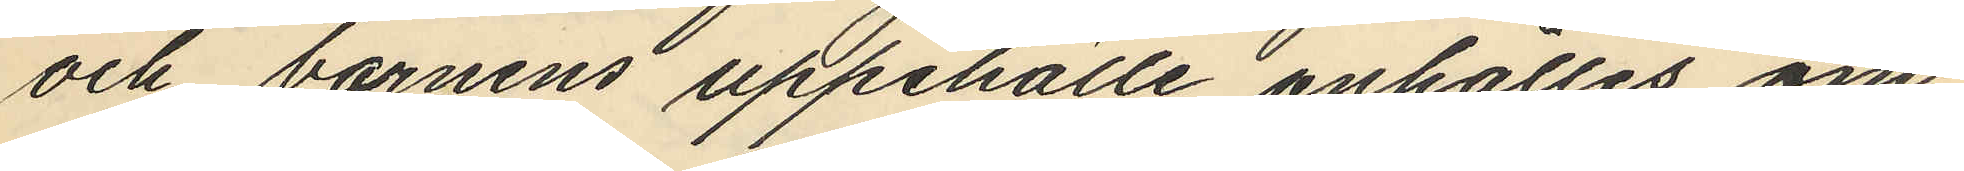och barnens uppehälle anhålles om
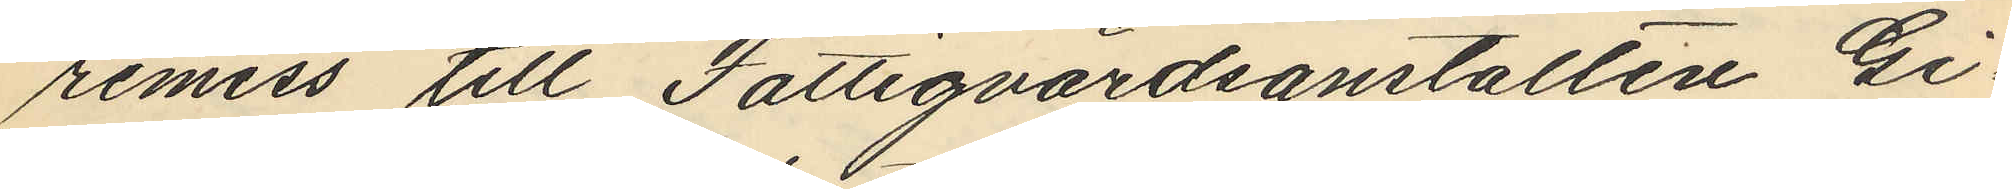remiss till Fattigvårdsanstalten Gi¬
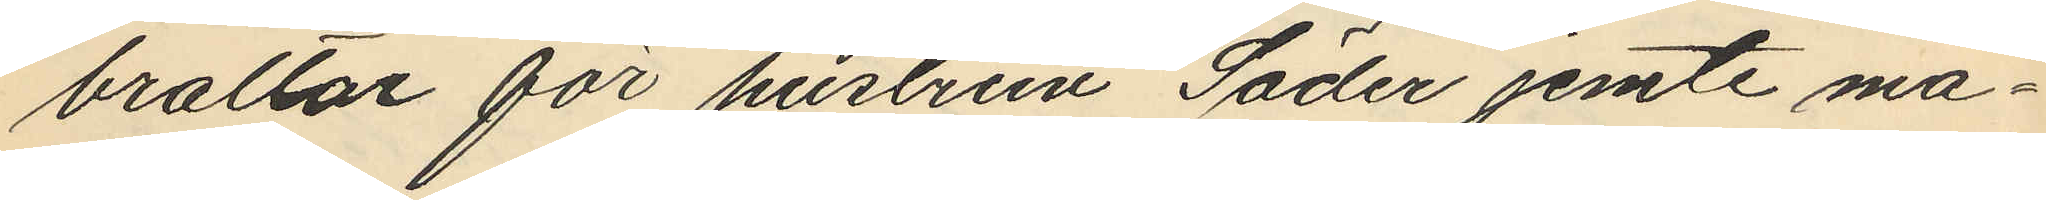braltar för hustrun Söder jemte ma¬
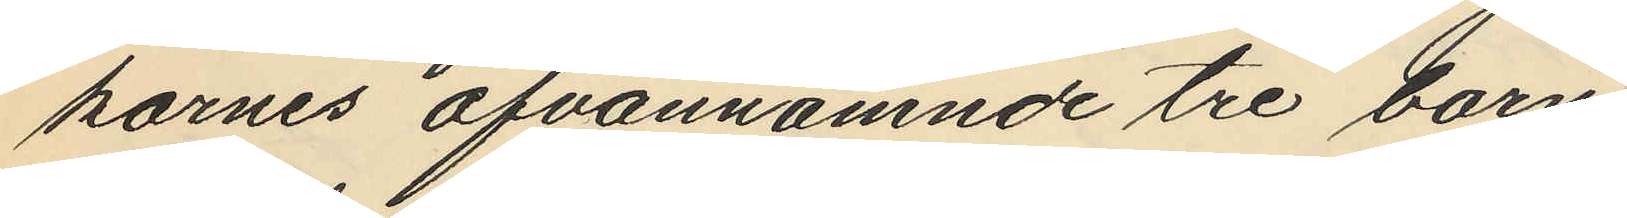karnes ofvannämnde tre barn
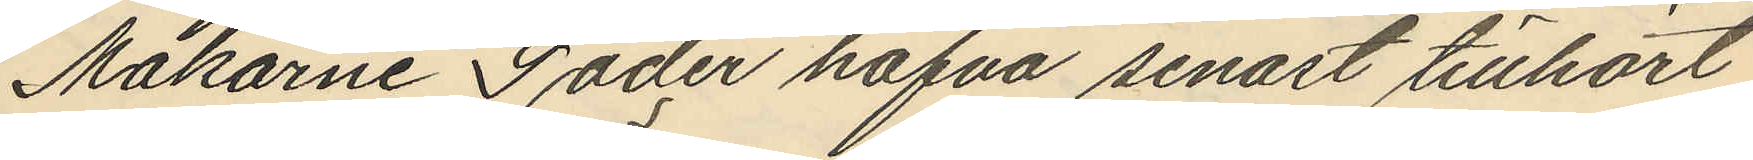Makarne Söder hafva senast tillhört
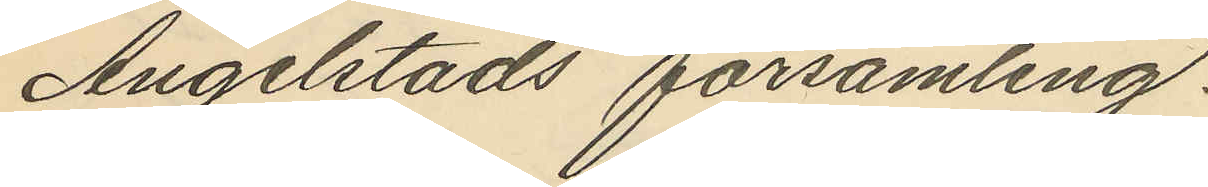Angelstads församling.
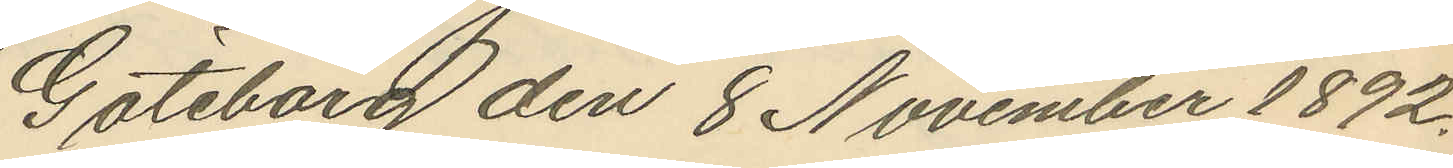Göteborg den 8 November 1892.
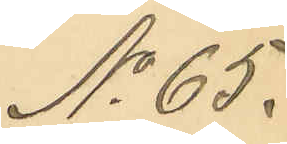No 65.
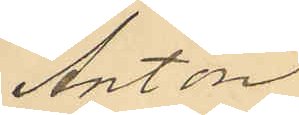Anton
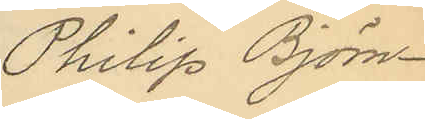Philip Björn¬
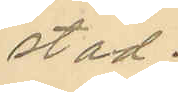stad.
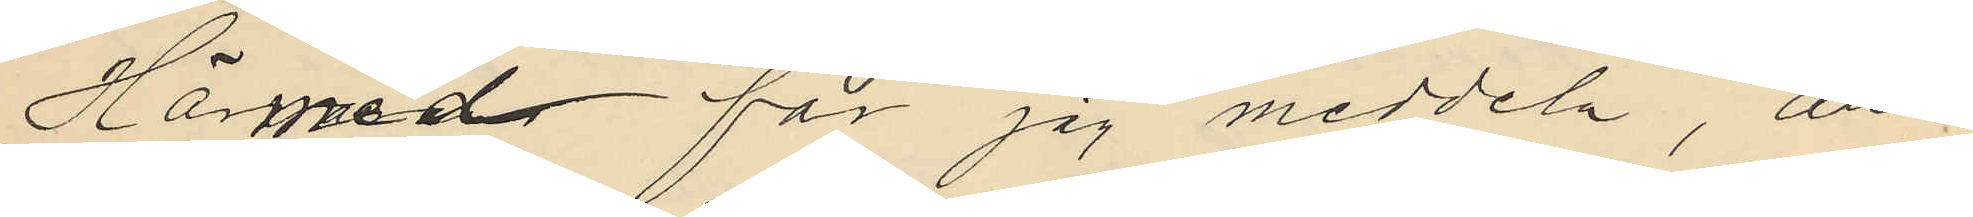Härmed får jag meddela, att i
